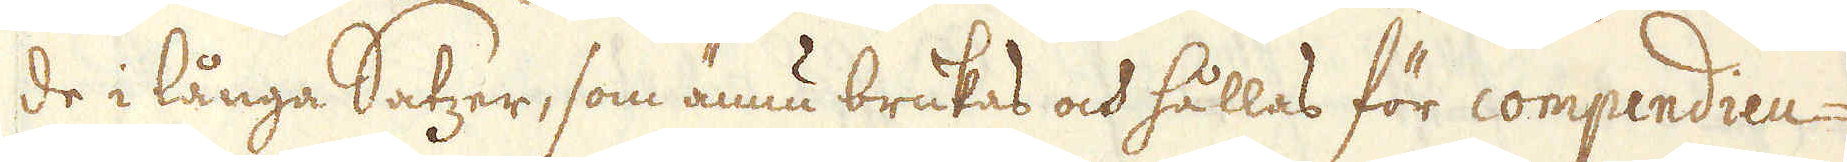de i långa Satzer, som ännu brukas och hållas för compendieu-
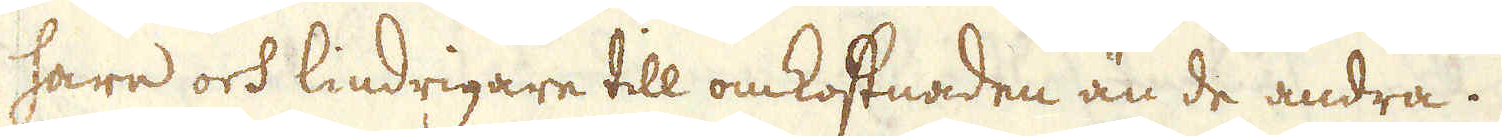sare och lindrigare till omkostnaden än de andra.
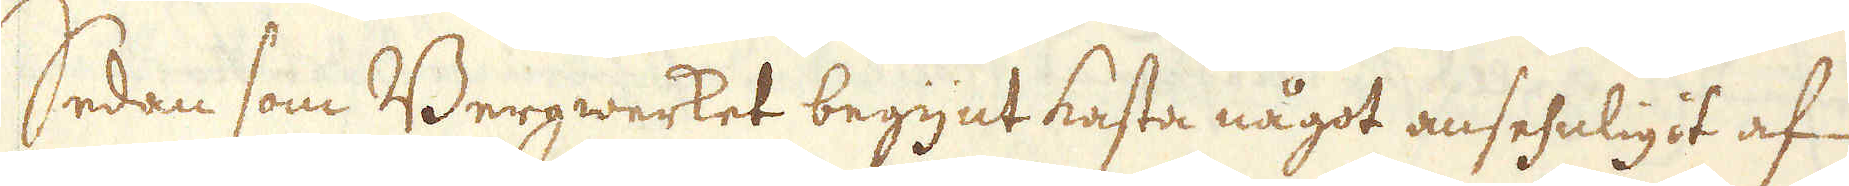Sedan som Bergwerket begynt kasta något ansehnligit af
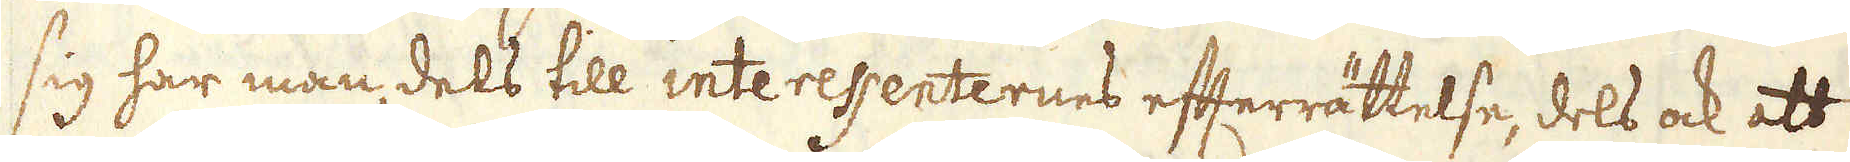sig har man, dels till interessenternes efterrättelse, dels ock att
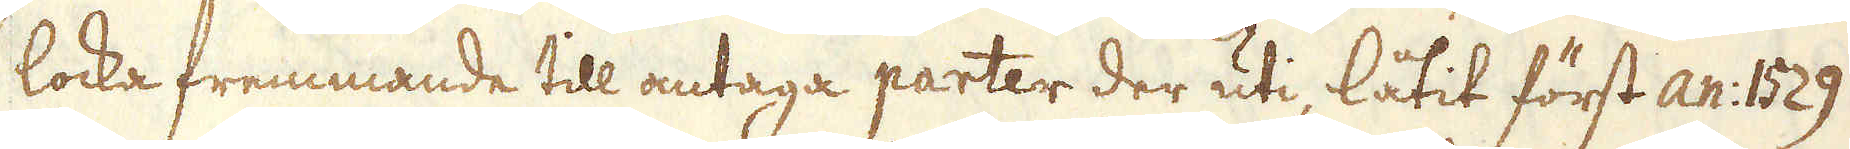locka fremmande till antaga parter der uti, låtit först an: 1529
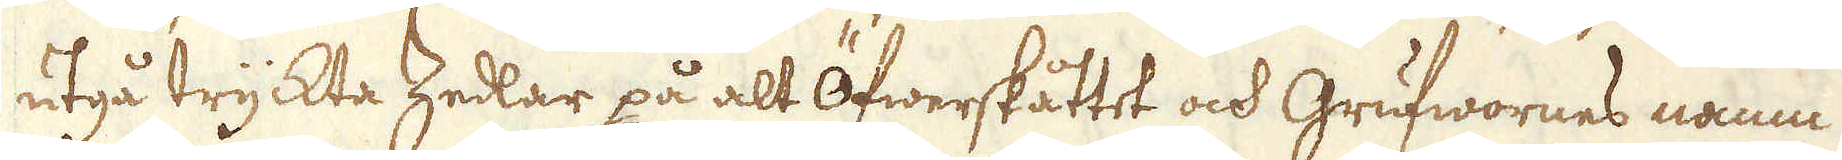utgå tryckta Zedlar på alt öfwerskåttet och Grufwornes namn
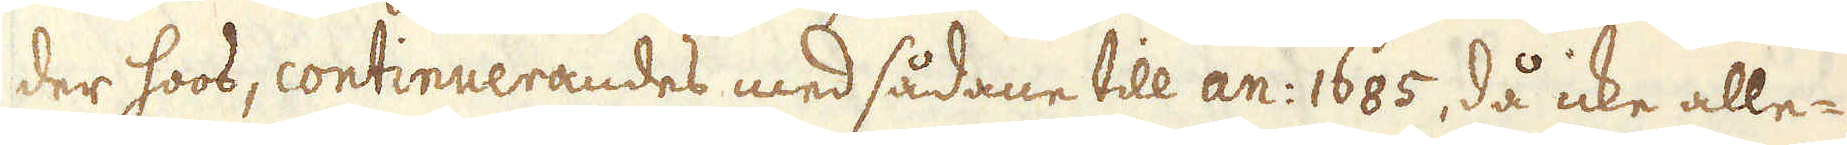der hoos, continuerandes med sådane till an: 1685, då icke alle-
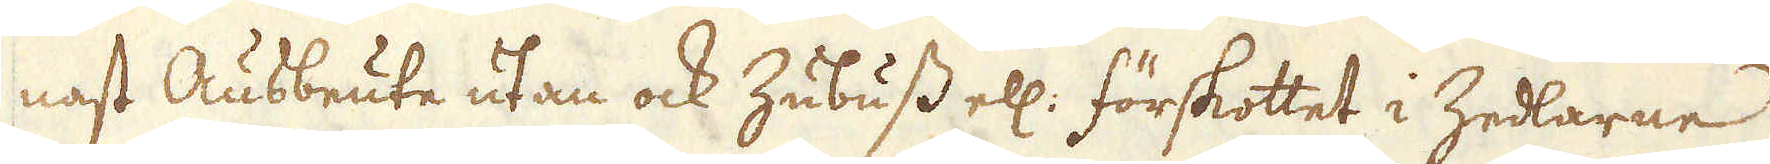nast Ausbeute utan ock Zubuss ell: förskottet i Zedlarne
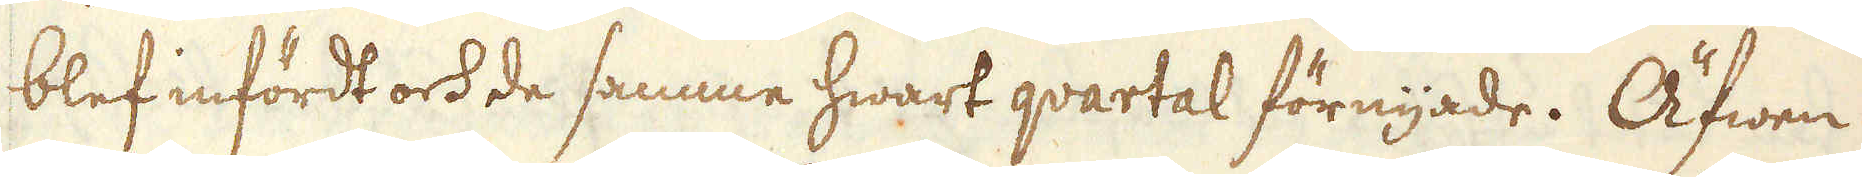blef infördt och de samme hwart qvartal förnyade. Äfwen
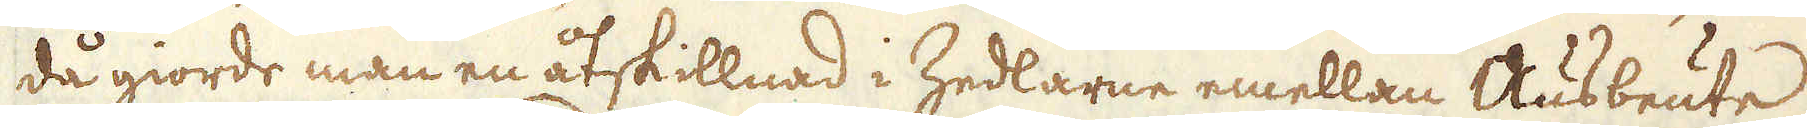då giorde man en åtskillnad i Zedlarne emellan Ausbeute
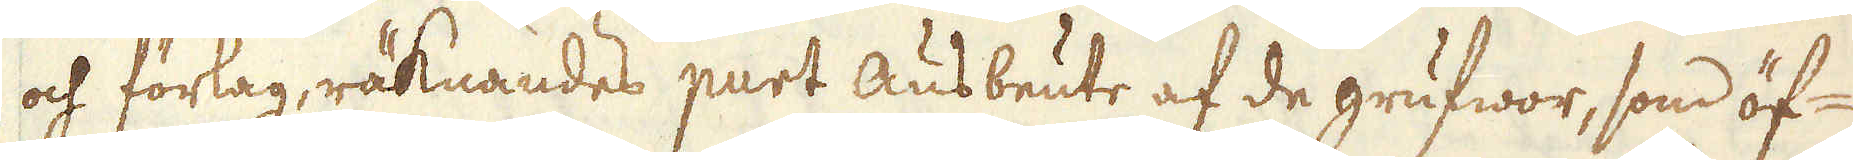och förlag, räknandes purt Ausbeute af de grufwor, som öf-
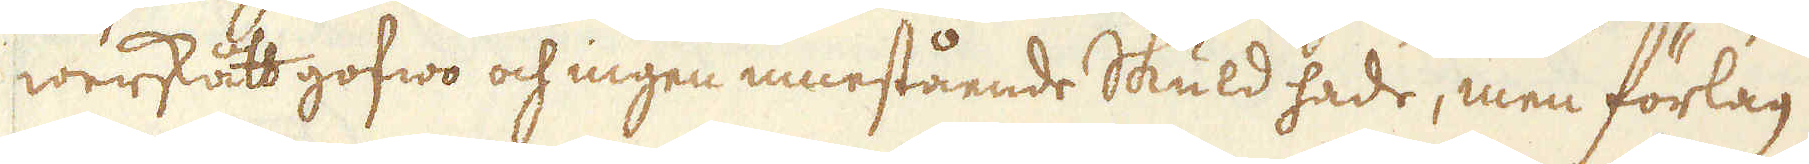werskått gofwo och ingen innestående Skuld hade, men förlag
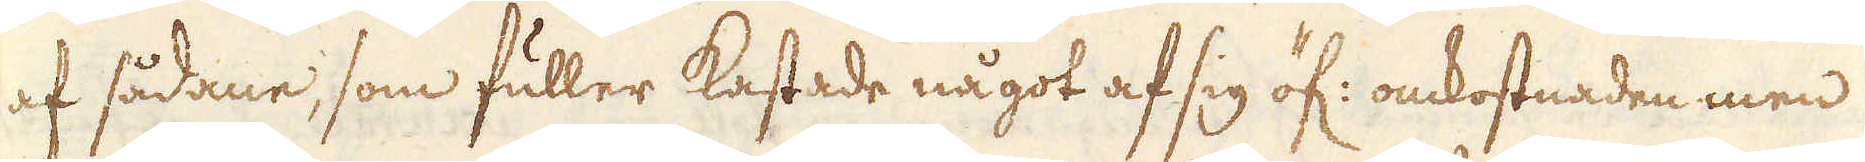af sådane, som fuller kastade något af sig öf: omkostnaden men
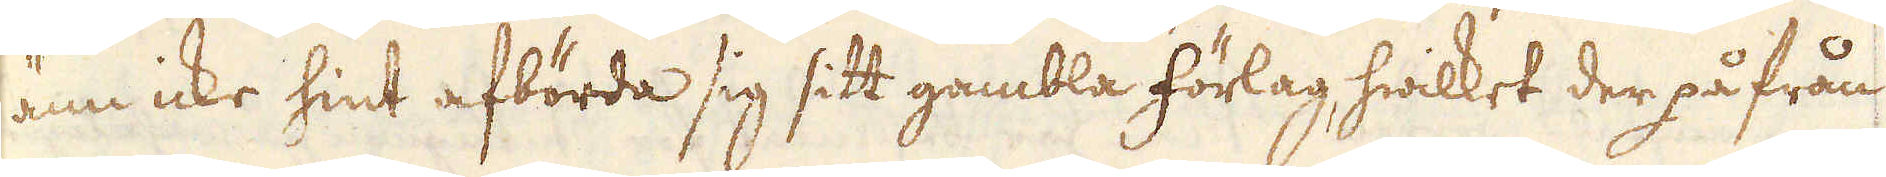änn icke hint afbörda sig sitt gambla förlag, hwilket der på från
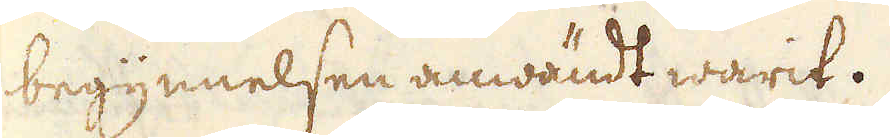begynnelsen anwändt warit.
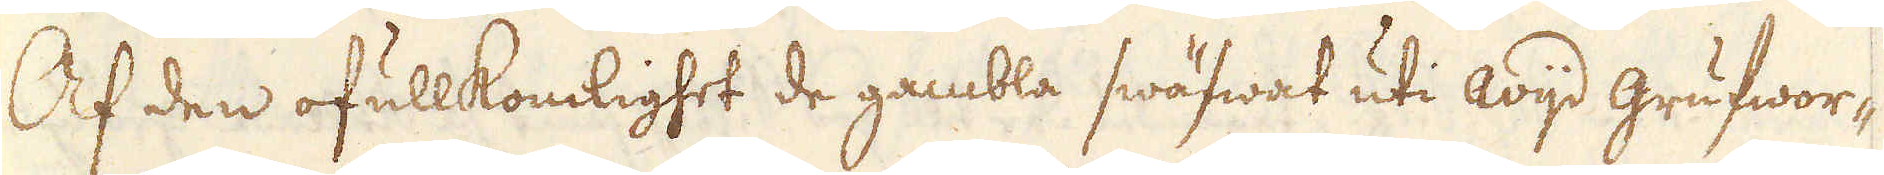Af den ofullkomlighet de gambla swäfwat uti wijd grufwor-
